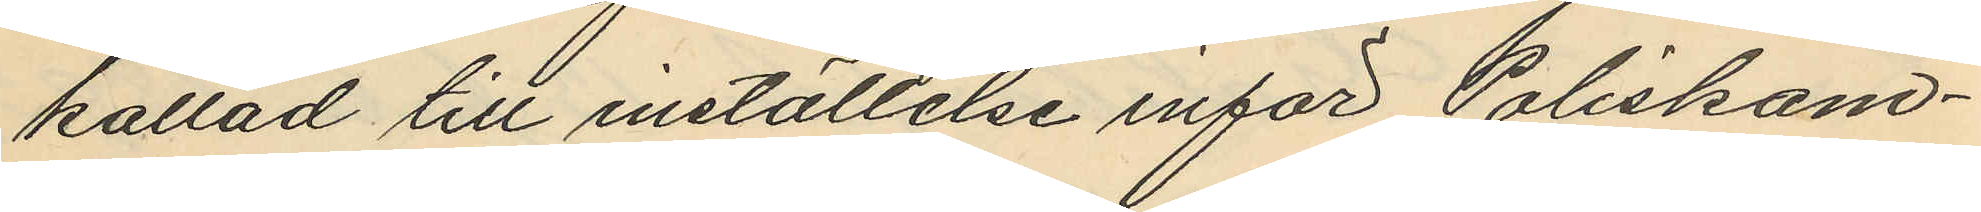kallad till inställelse inför Poliskam¬
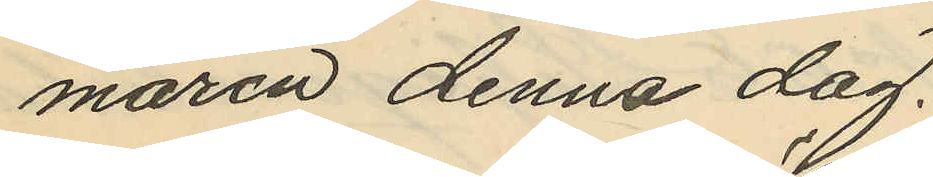maren denna dag.
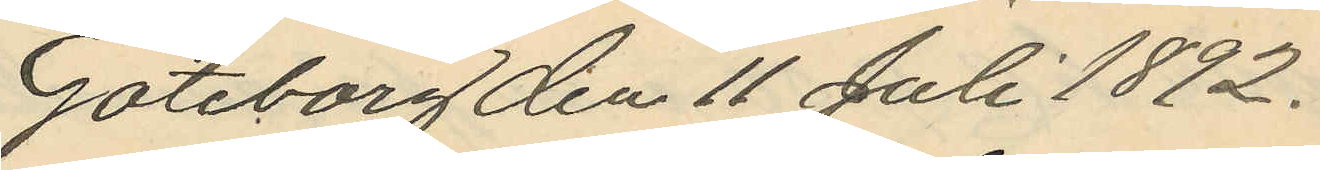Göteborg den 11 Juli 1892.
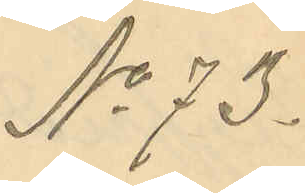No 73.
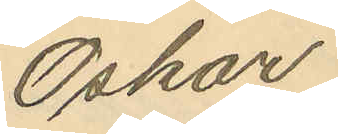Oskar
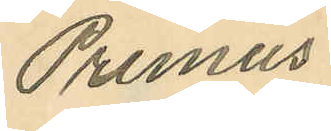Primus
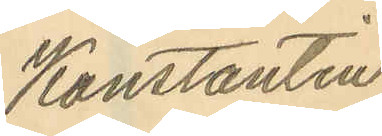Konstantin
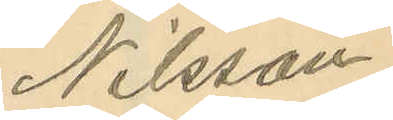Nilsson.
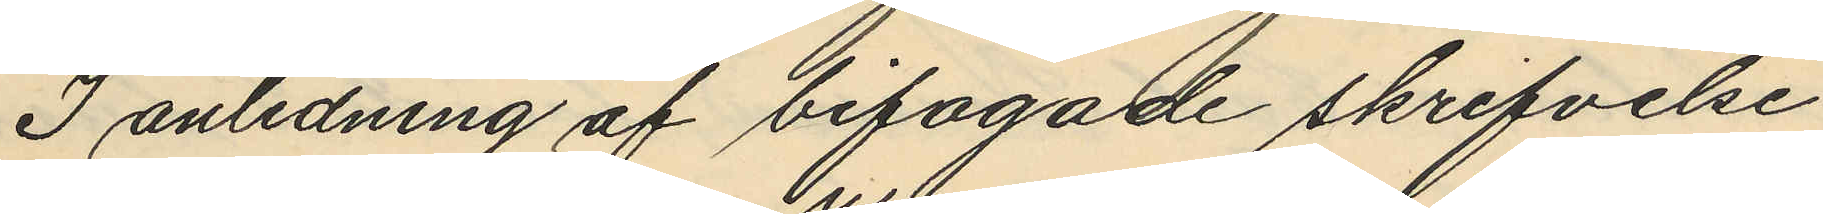I anledning af bifogade skrifvelse
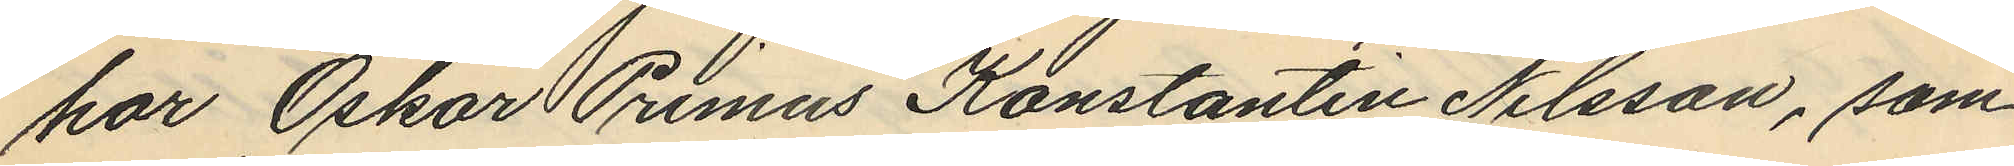har Oskar Primus Konstantin Nilsson, som
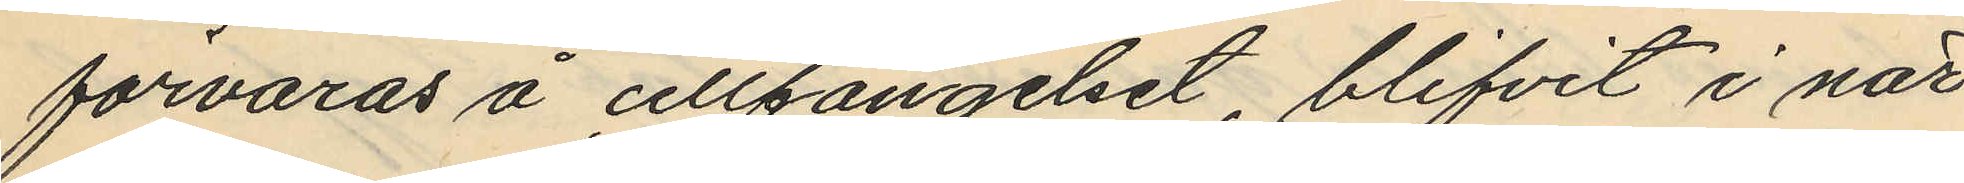förvaras å cellfängelset, blifvit i när¬
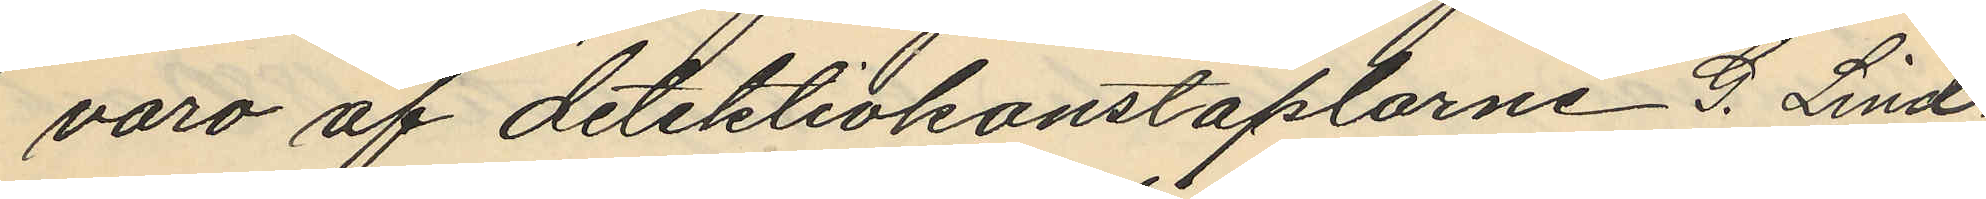varo af detektivkonstaplarne G. Lind¬
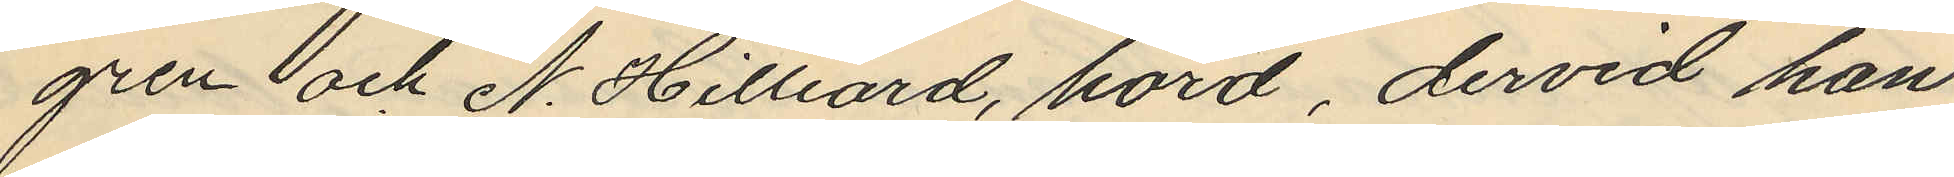gren och N. Hilliard, hörd, dervid han
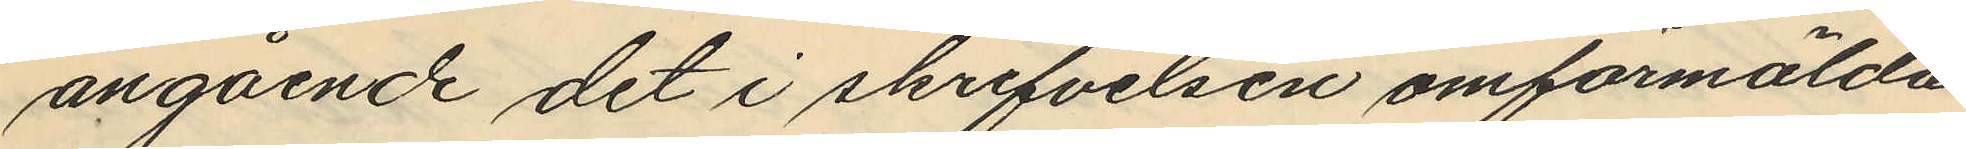angående det i skrifvelsen omförmälda
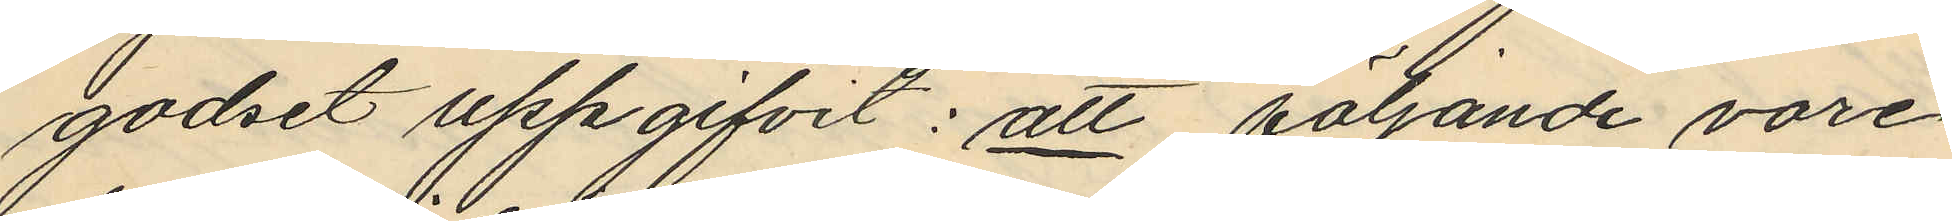godset uppgifvit: att följande vore
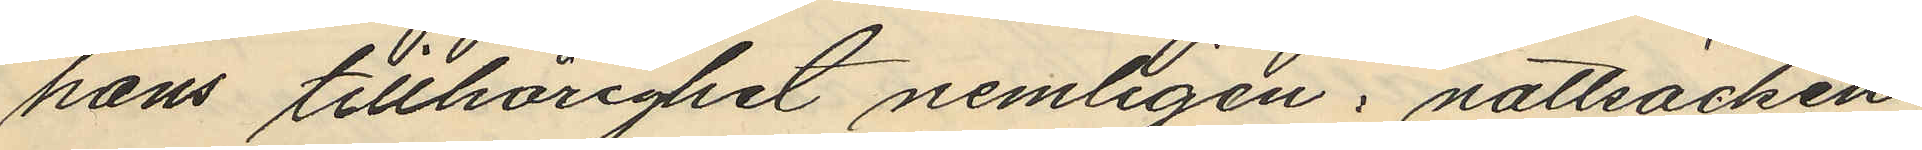hans tillhörighet nemligen: nattsäcken
